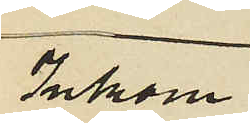Inkom
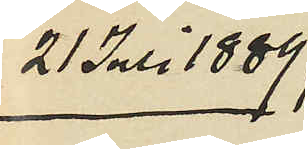21 Juli 1889.
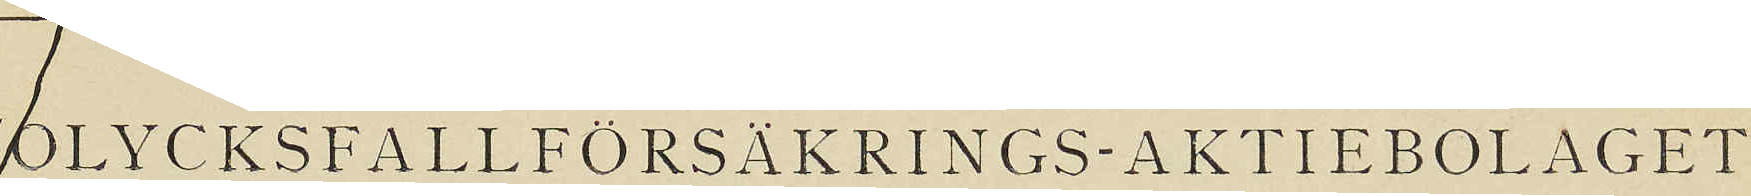OLYCKSFALLFÖRSÄKRINGS-AKTIEBOLAGET
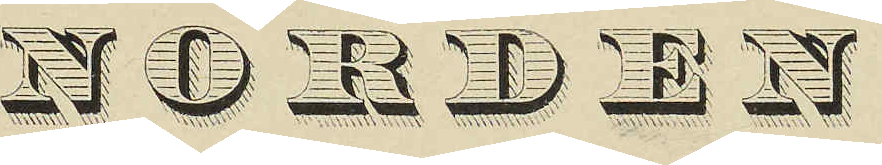 NORDEN
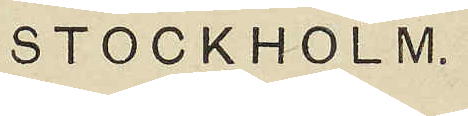STOCKHOLM.
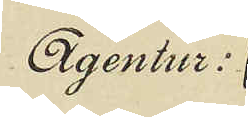Agentur:
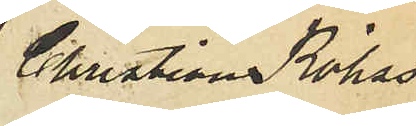Christian Röhss
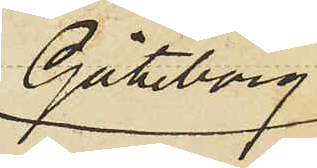Göteborg
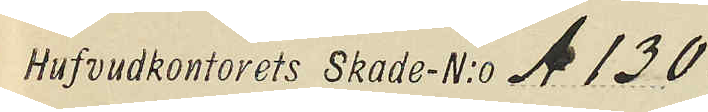Hufvudkontorets Skade-N:o A 130.
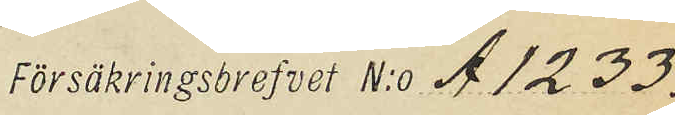Försäkringsbrefvet N:o A 1233.
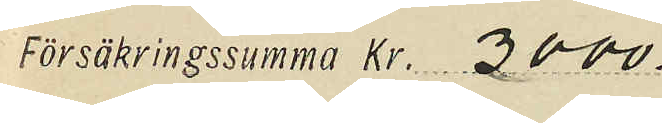Försäkringssumma Kr. 3000.
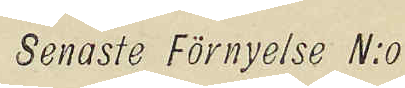Senaste Förnyelse N:o
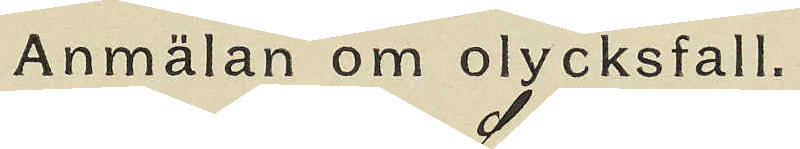Anmälan om olycksfall.
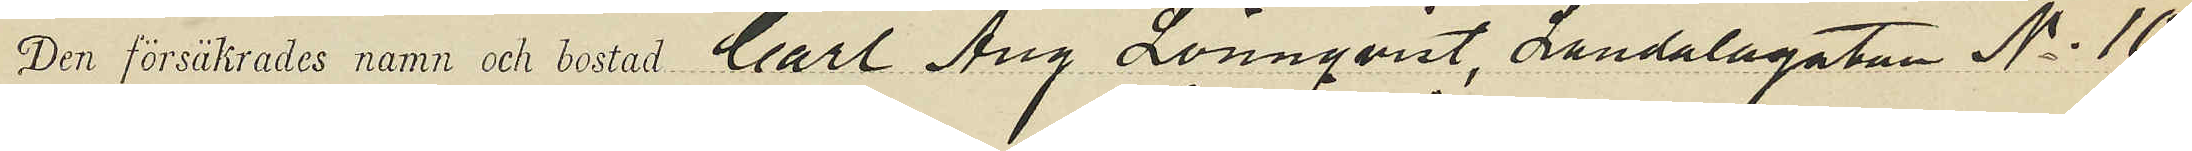Den försäkrades namn och bostad Carl Aug Lönnqvist, Landalagatan No 10
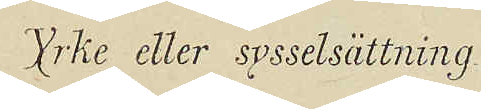Yrke eller sysselsättning
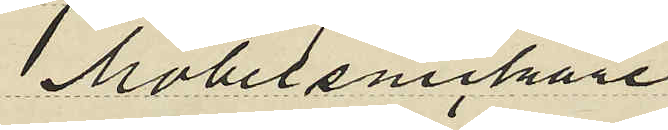Möbelsnickare
